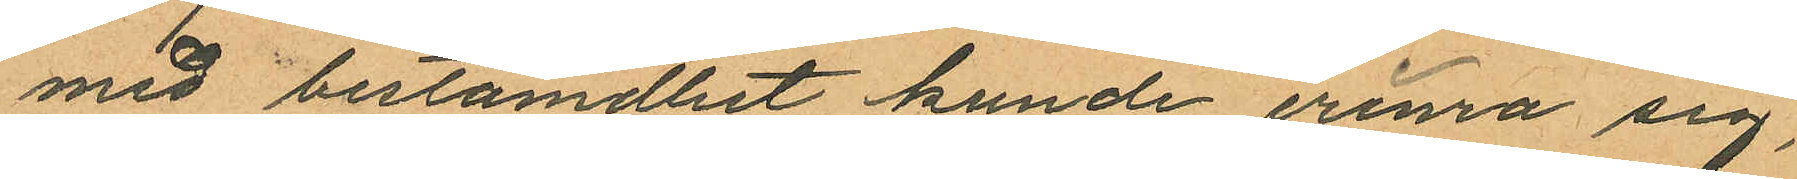med bestämdhet kunde erinra sig,
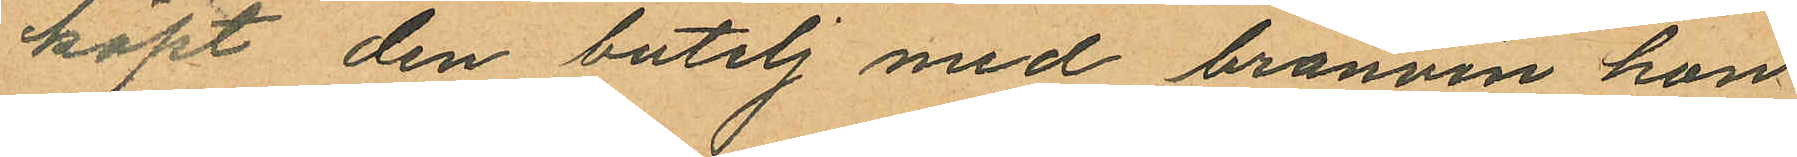köpt den butelj med bränvin han
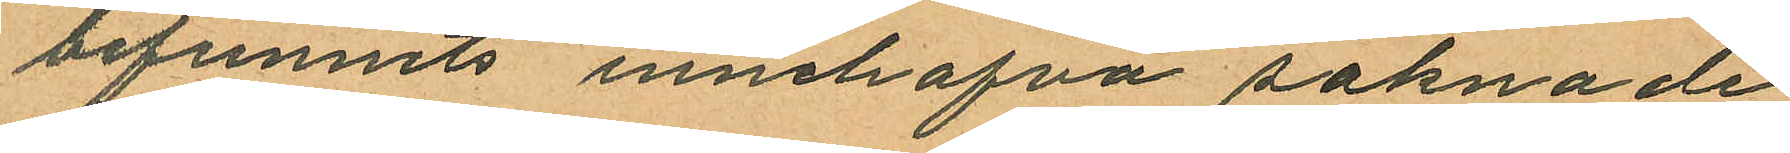befunnits innehafva saknade
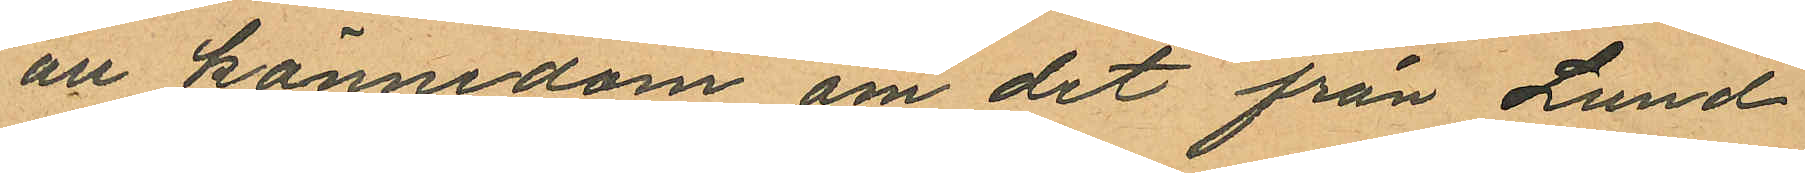all kännedom om det från Lund
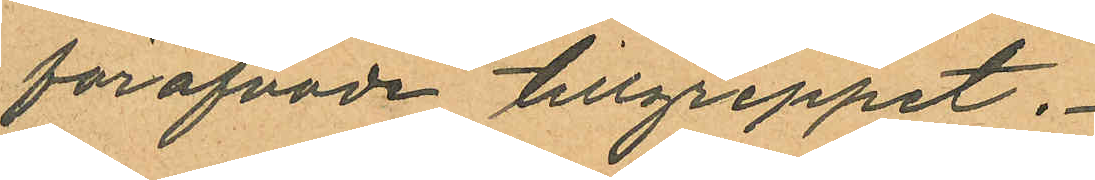föröfvade tillgreppet.
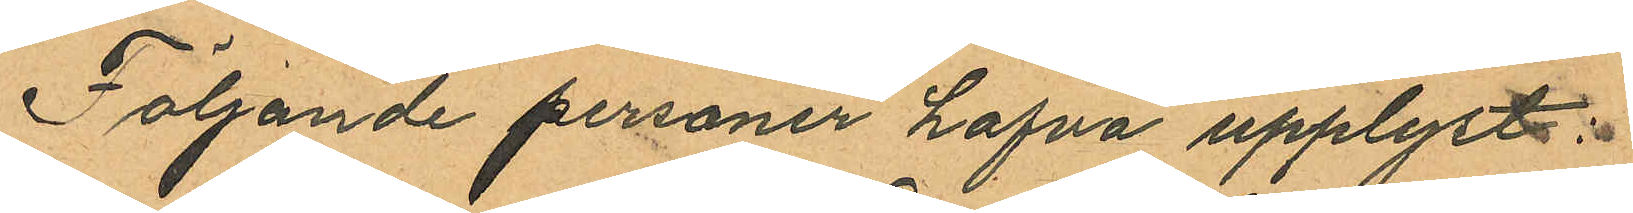Följande personer hafva upplyst:
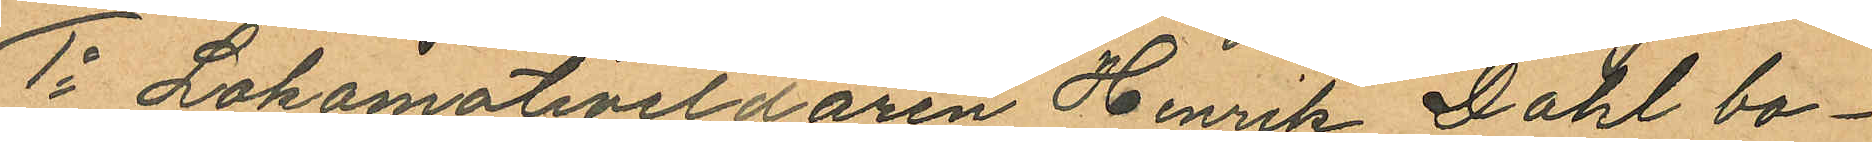1o Lokomotiveldaren Henrik Dahl bo¬
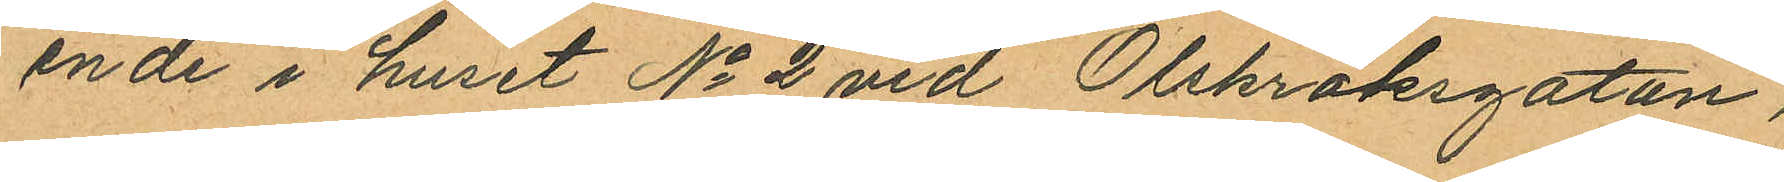ende i huset No 2 vid Olskroksgatan,
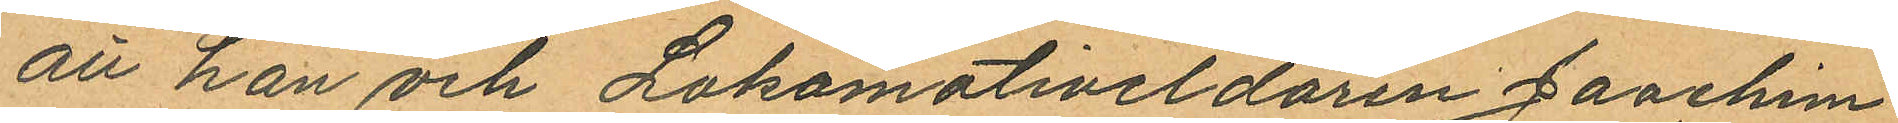att han och Lokomotiveldaren Joachim
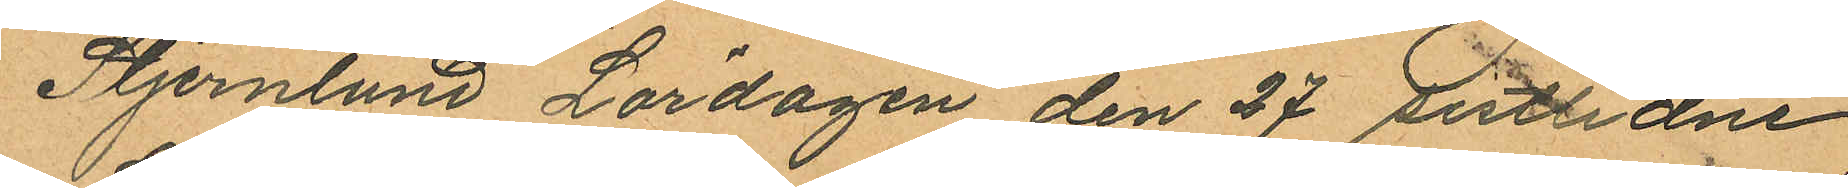Stjernlund Lördagen den 27 sistlidne
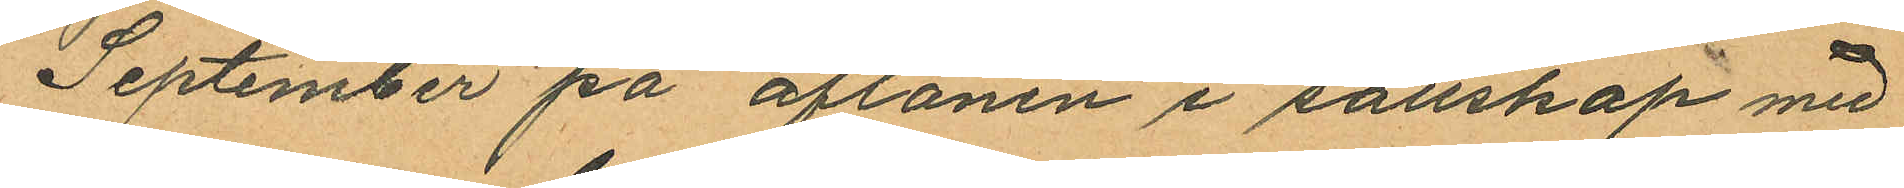September på aftonen i sällskap med
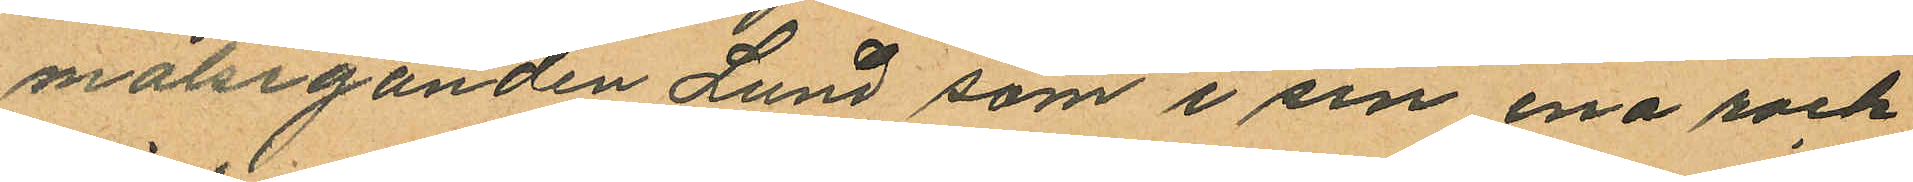målseganden Lund som i sin ena rock
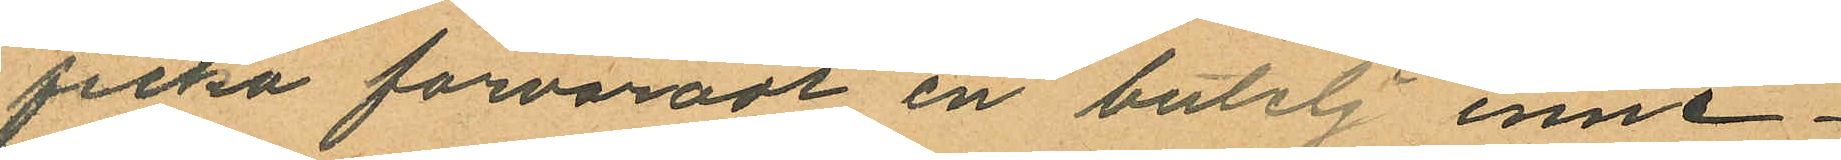ficka förvaradt en butelj inne¬
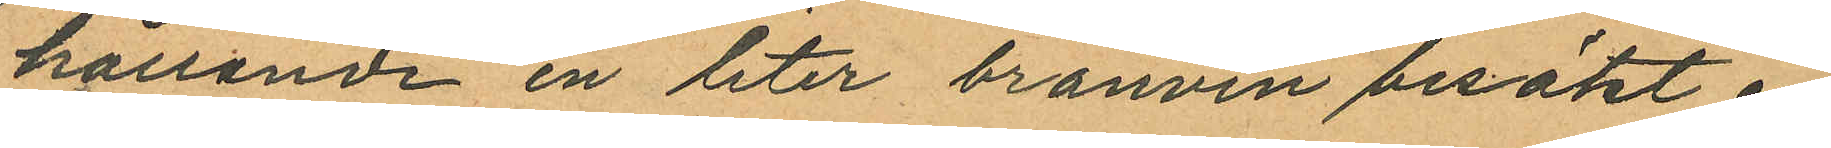hållande en liter bränvin besökt en
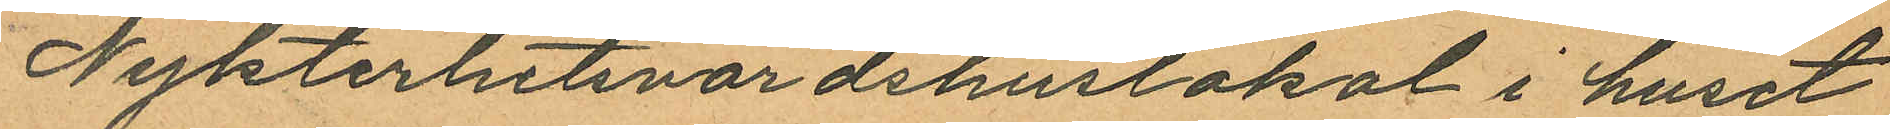Nykterhetsvärdshuslokal i huset
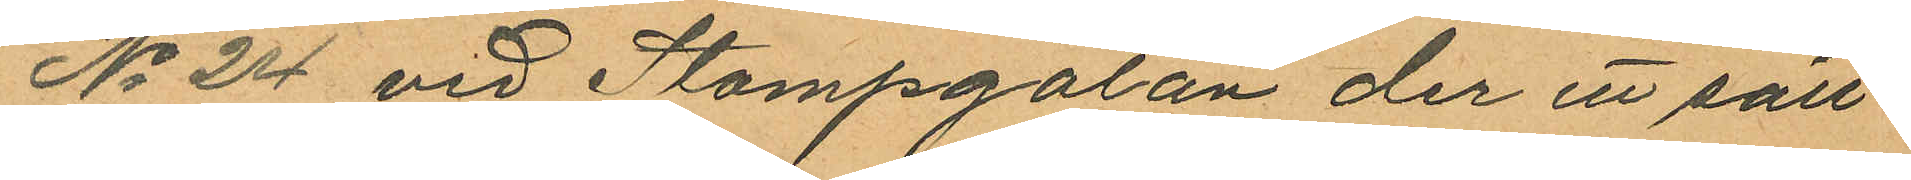No 24 vid Stampgatan der ett säll¬
